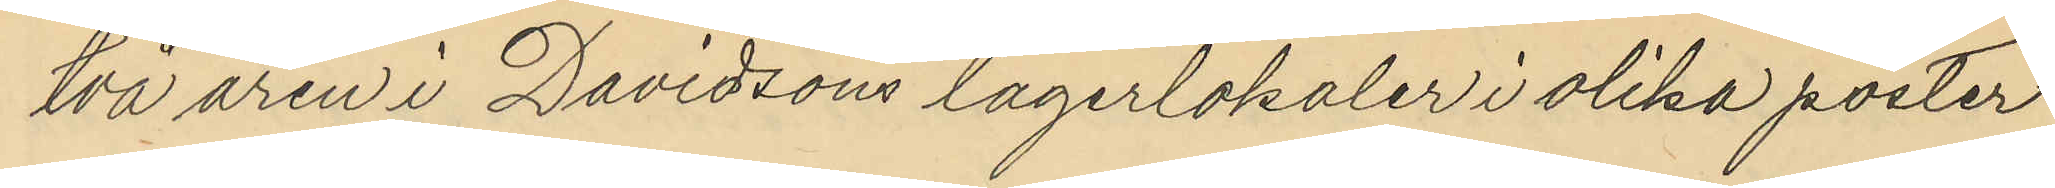två åren i Davissons lagerlokaler i olika poster
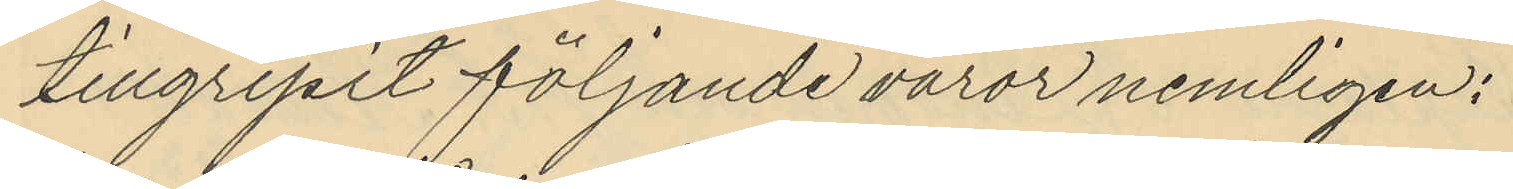tillgripit följande varor nemligen:
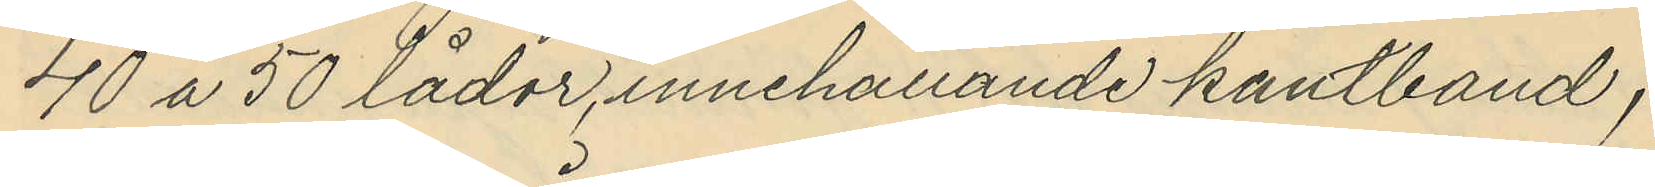40 a 50 lådor, innehållande kantband,
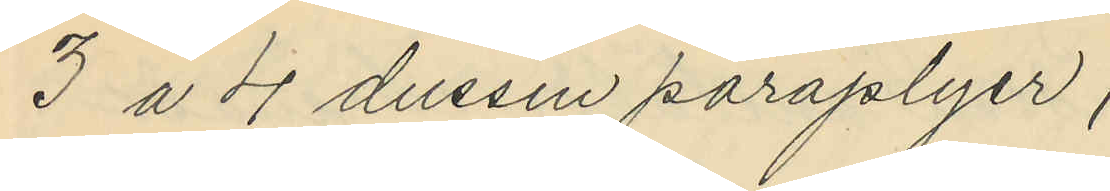3 a 4 dussin paraplyer,
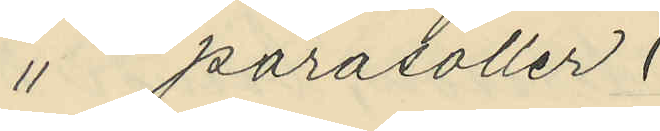" parasoller,
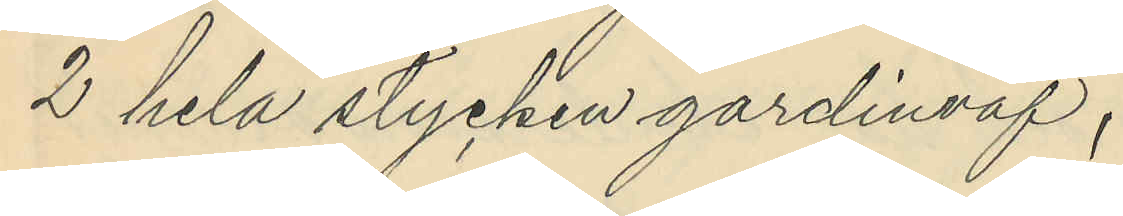2 hela stycken gardinväf,
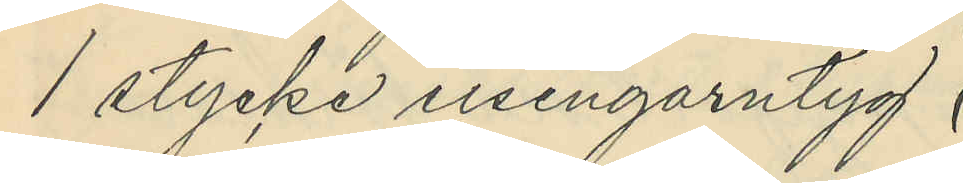1 stycke eisengarntyg,
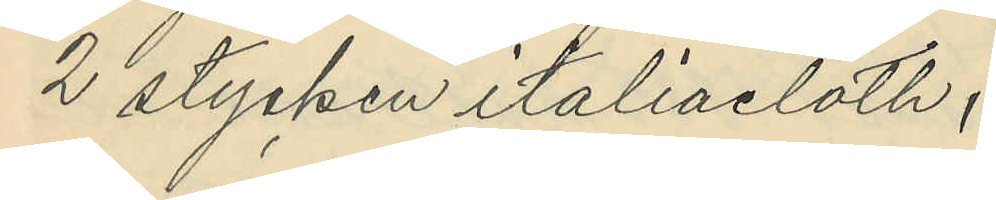2 stycken italiacloth,
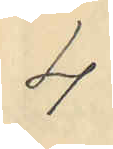4
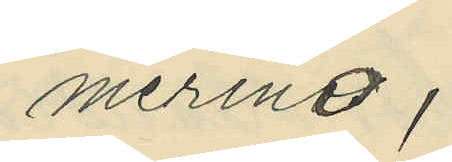merino,
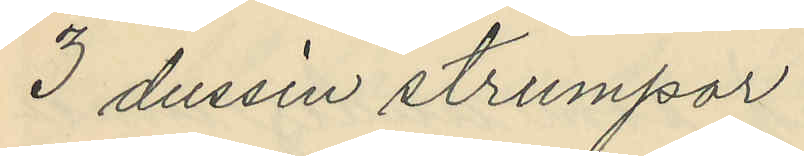3 dussin strumpor,
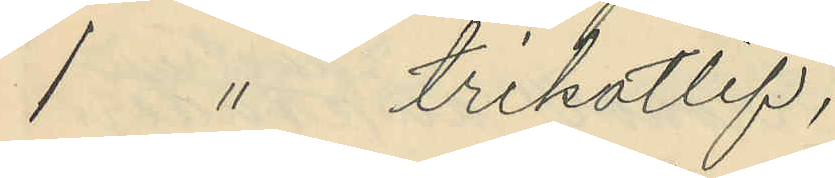1 " trikotlif,
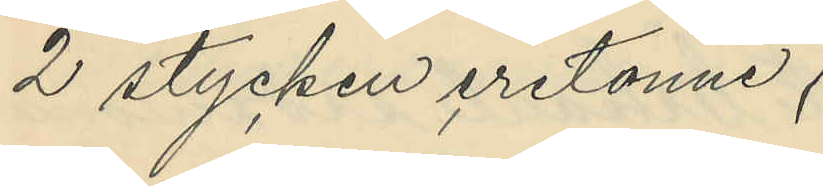2 stycken eretonne,
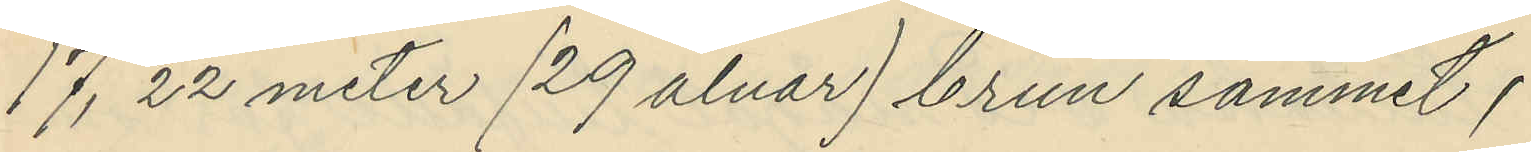17, 22 meter (29 alnar) brun sammet,
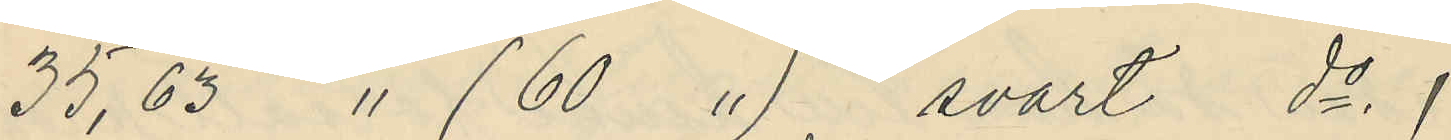35,63 " (60 ") svart do ,
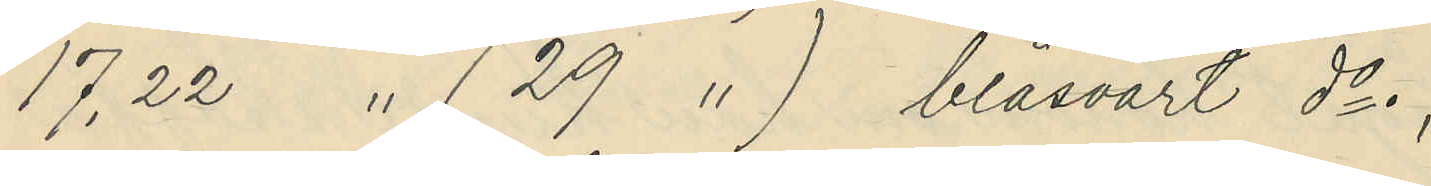17,22 " (29 ")  blåsvart do,
